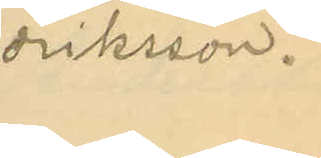driksson.
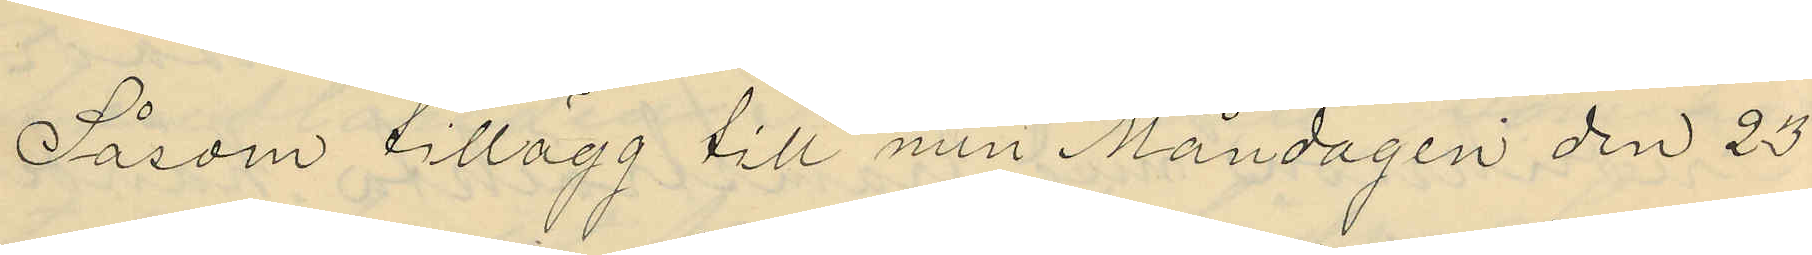Såsom tillägg till min Måndagen den 23
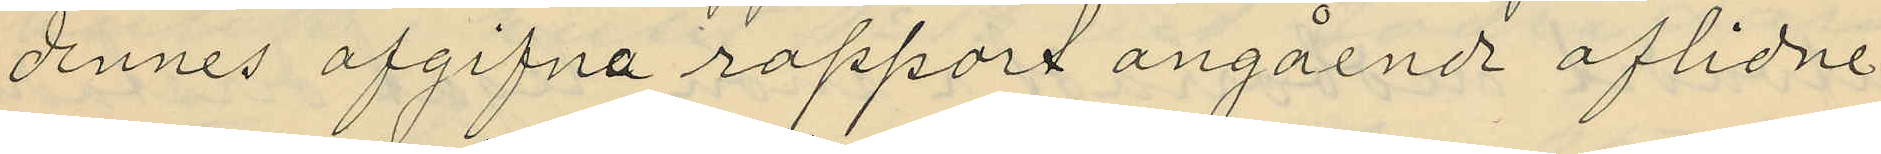dennes afgifna rapport angående aflidne
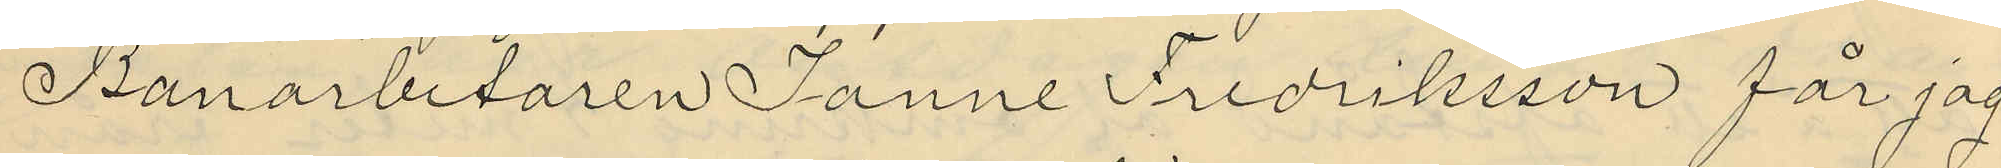Banarbetaren Janne Fredriksson får jag
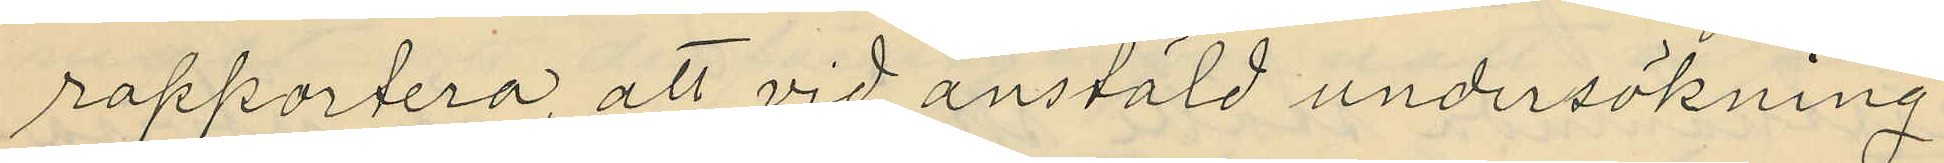rapportera, att vid anstäld undersökning
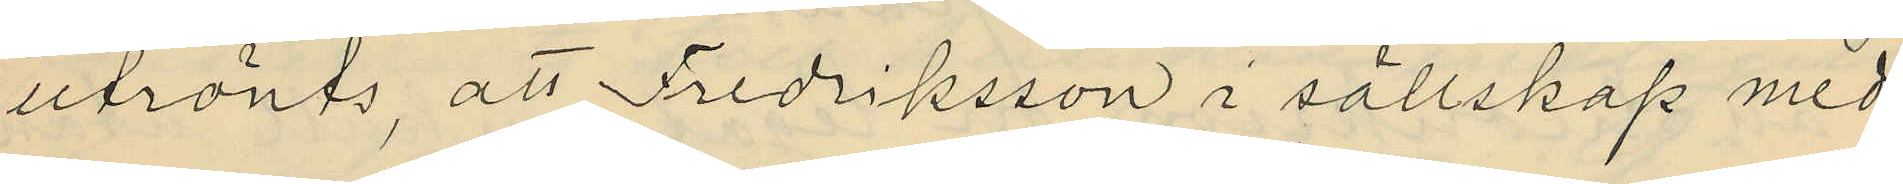utrönts, att Fredriksson i sällskap med
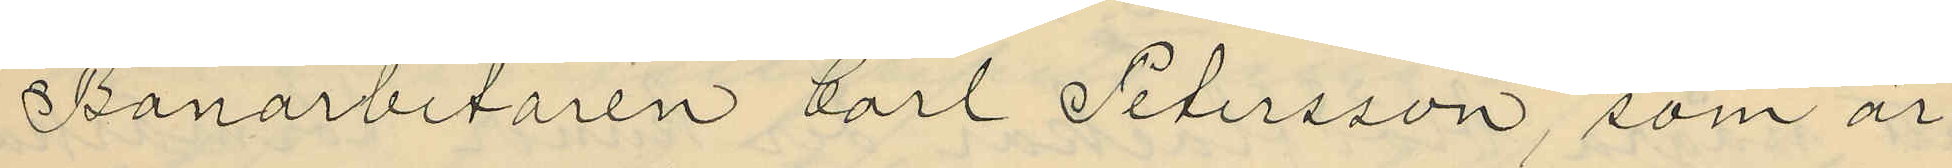Banarbetaren Carl Petersson, som är
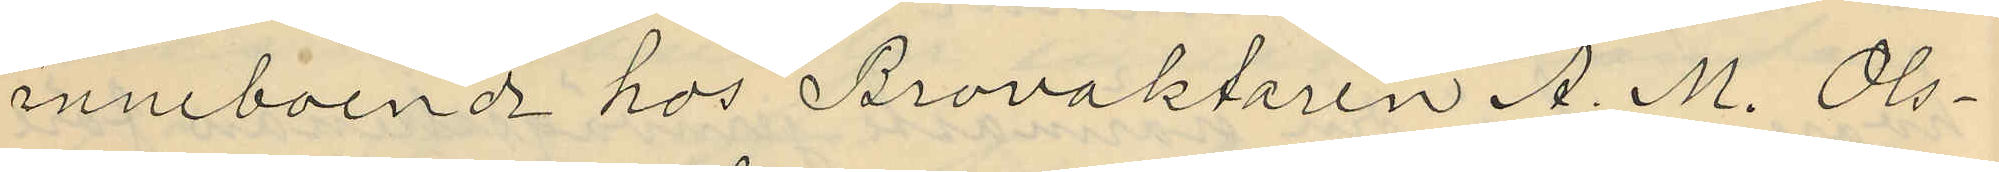inneboende hos Brovaktaren A. M. Ols¬
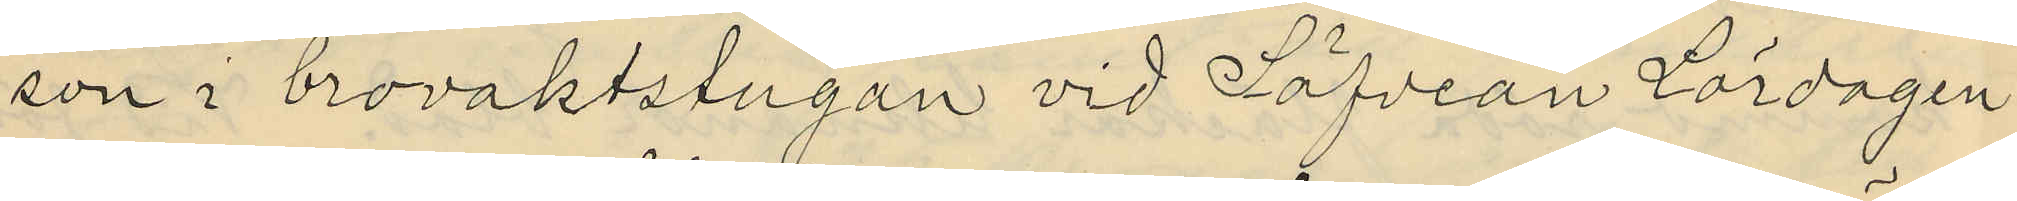son i brovaktstugan vid Säfveån Lördagen
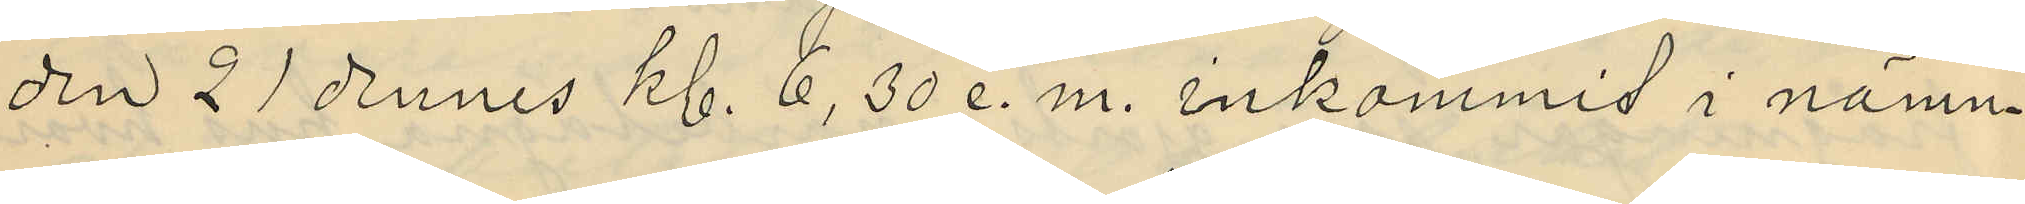den 21 dennes kl. 6,30 e. m. inkommit i nämn¬
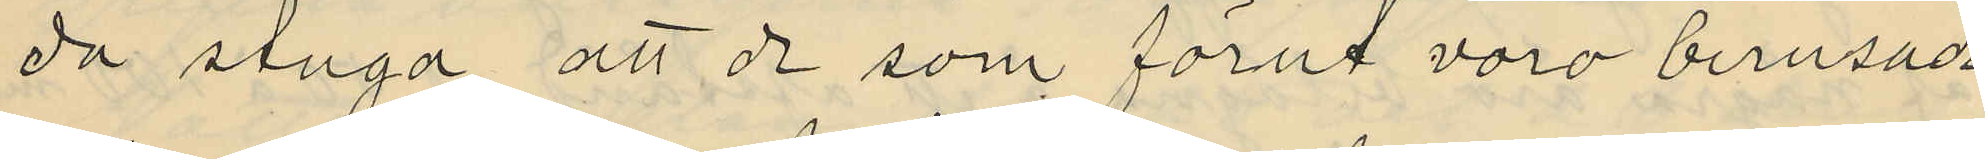da stuga, att de som förut voro berusade
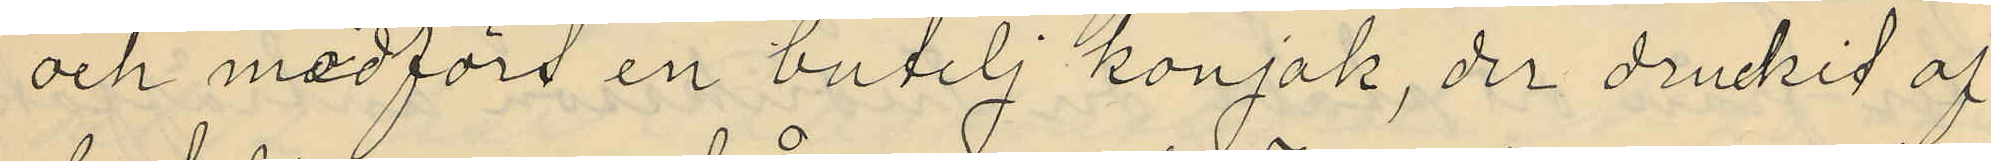och medfört en butelj konjak, der druckit af
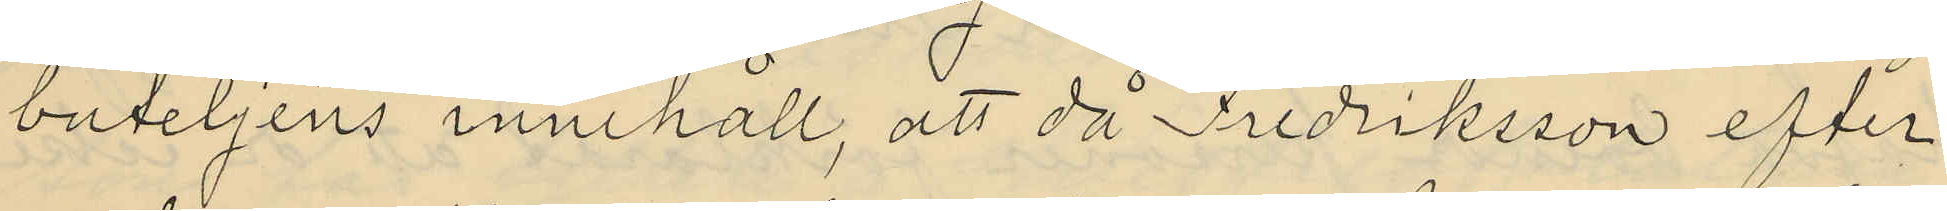buteljens innehåll, att då Fredriksson efter
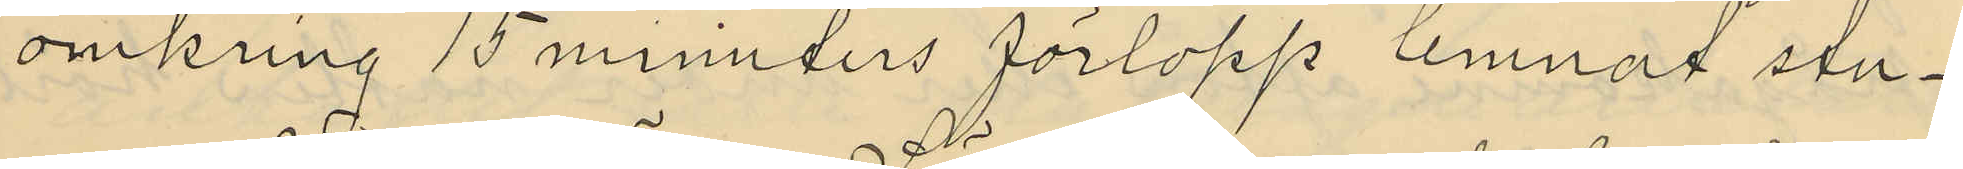omkring 15 minuters förlopp lemnat stu¬
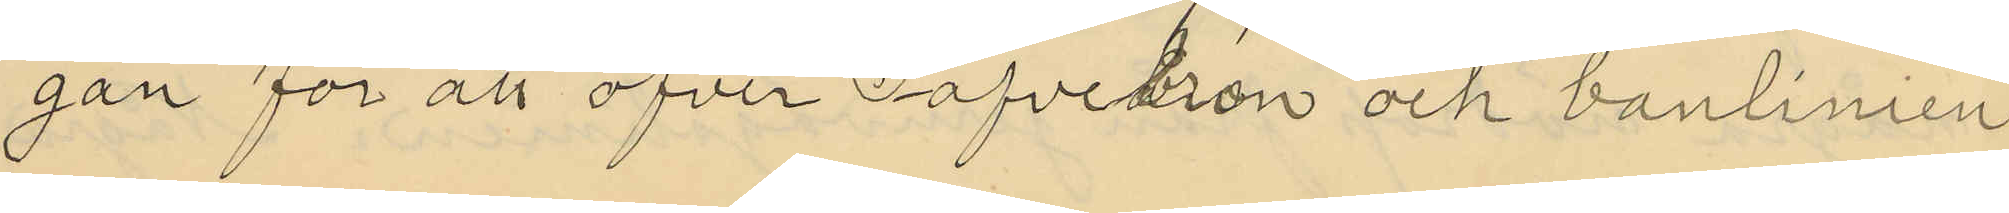gan för att öfver Säfvebron och banlinien
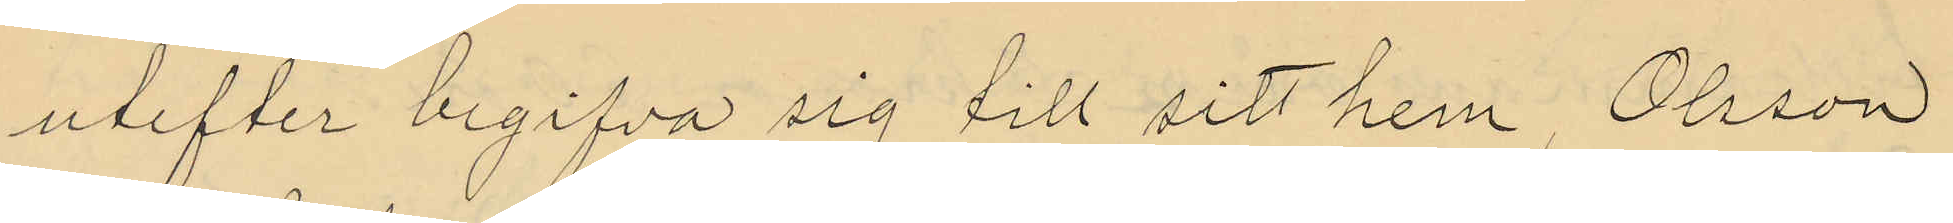utefter begifva sig till sitt hem, Olsson
